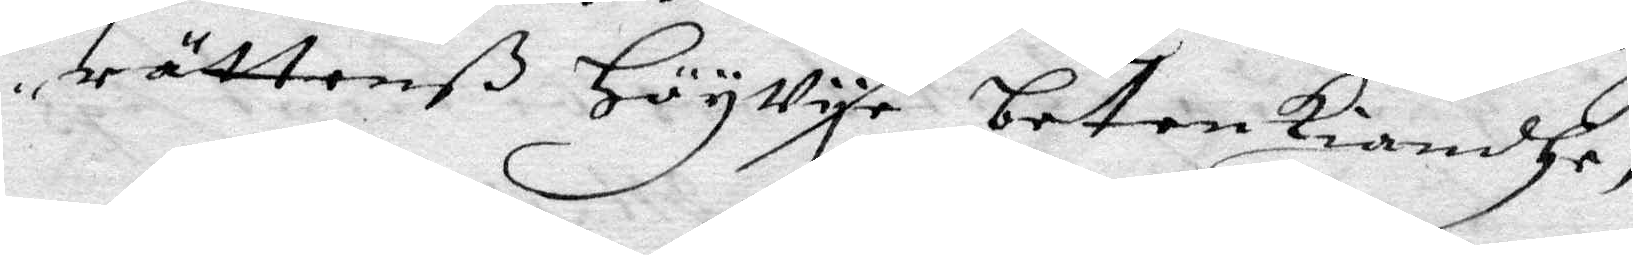rättenß HögVye betenkiandhe,
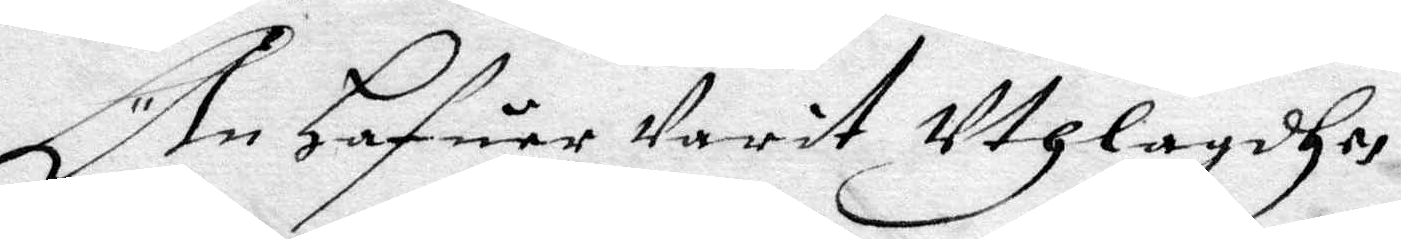Än Hafuer Varit Uthlagdha,
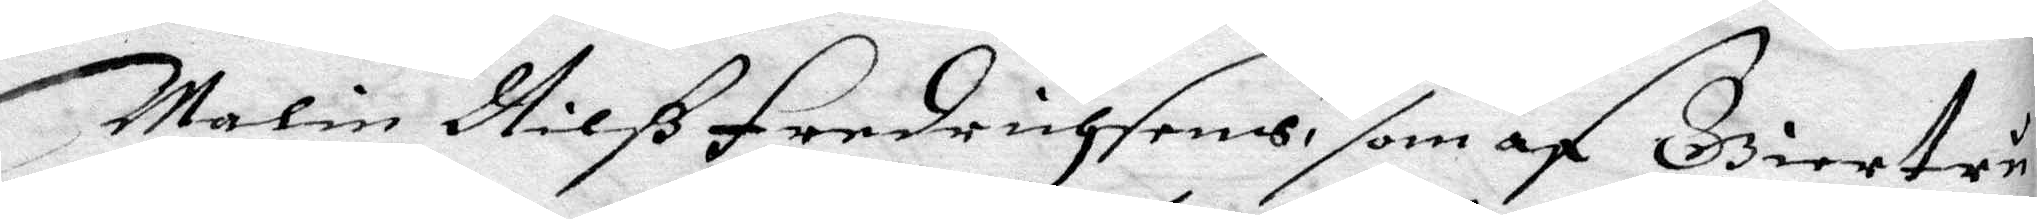malin Nilß Fredrichsons, som af Giertru
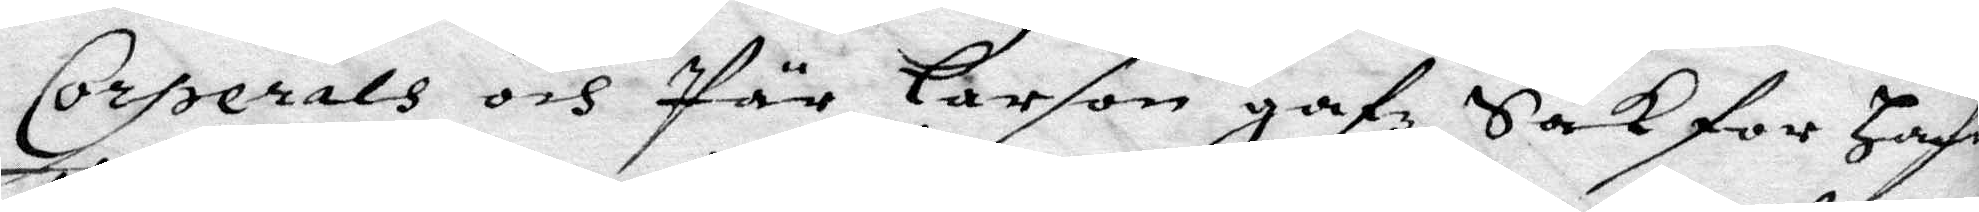Corperla och Pär larson gafz Sak for Hafua
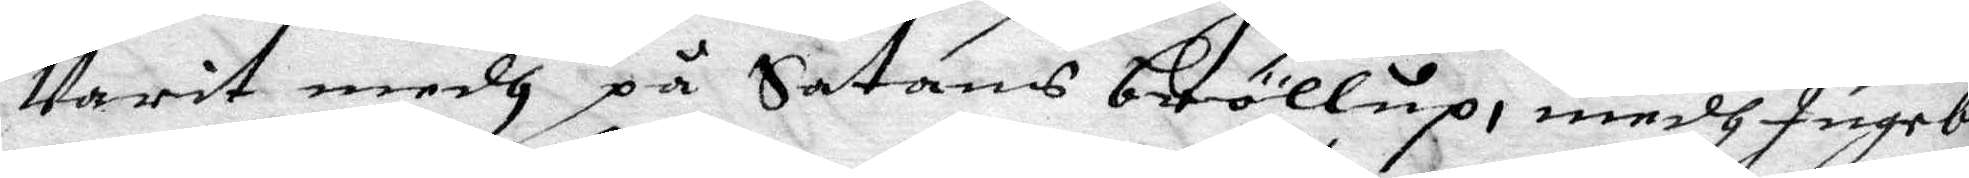Varit medh på Sathans brölup, medh Ingebo
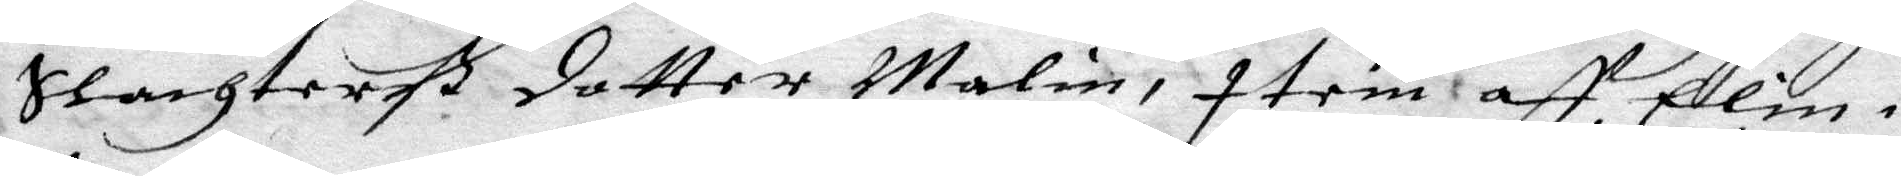Slachterß dotter Malin, item aff Elin i
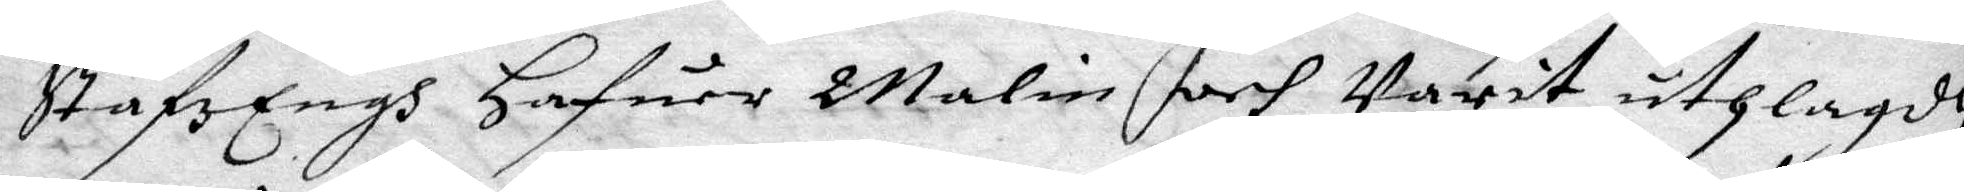StafzEngh hafuer Malin och Varit uthlagdh
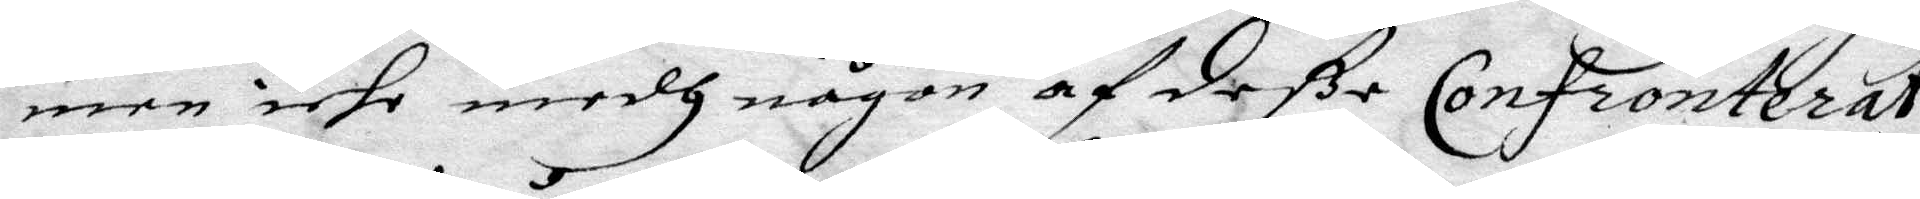men iche medh någon af deße Confronterat,
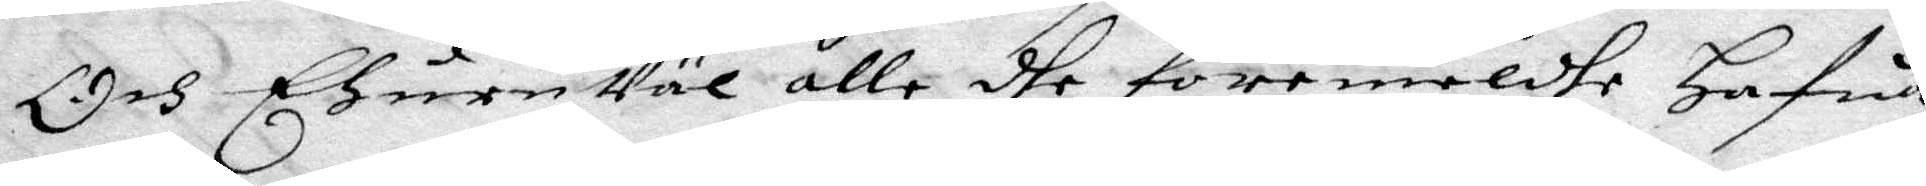Och EhuruVaö alle dhe föremeldhe Hafua
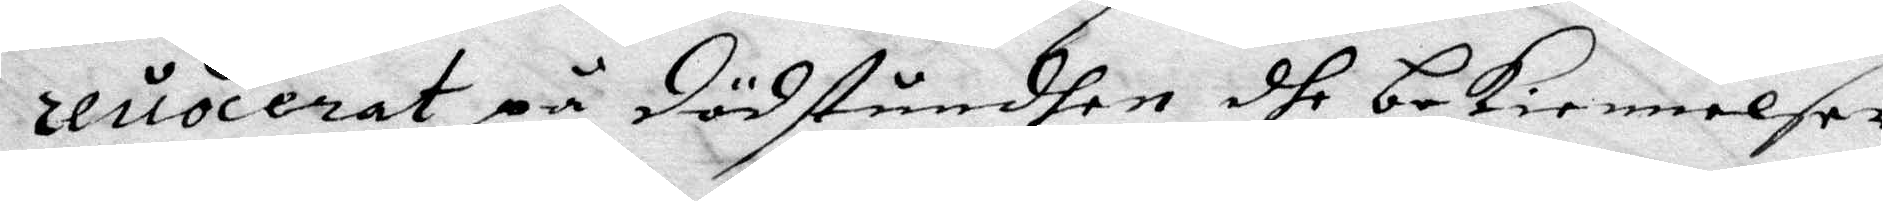reuocerat på dödstundhen dhe bekiennelser
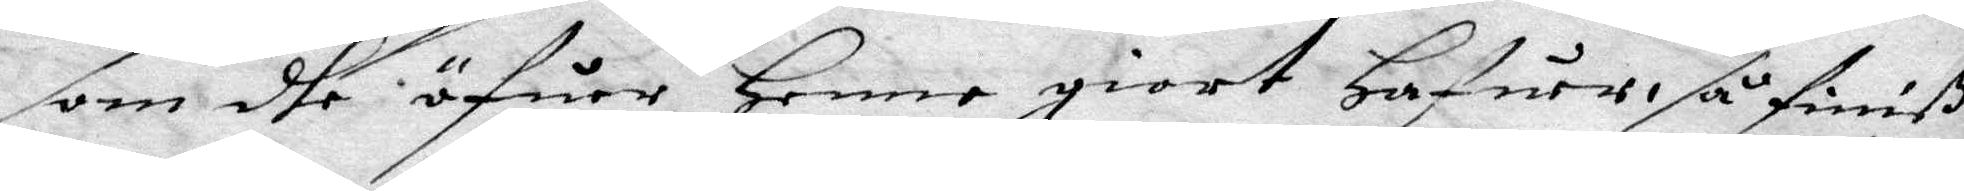som dhe öfuer Henne giort hafuer så finiß
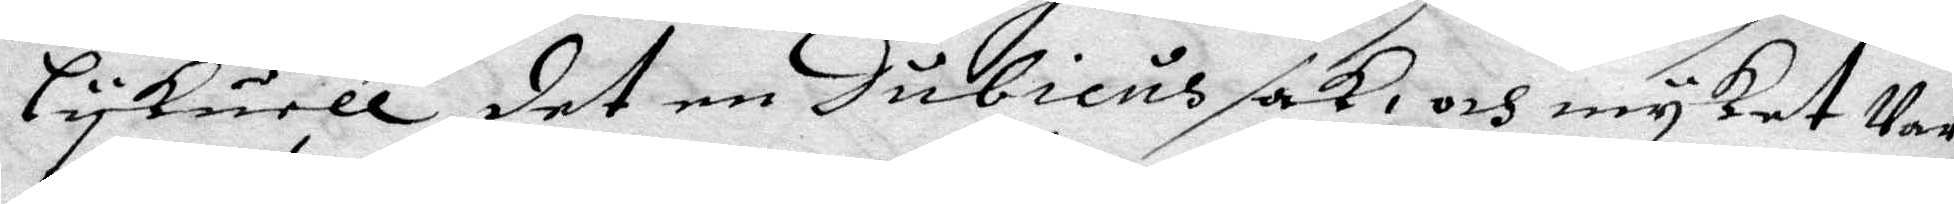Lykuell det en Dubienus sak, och mycket Var
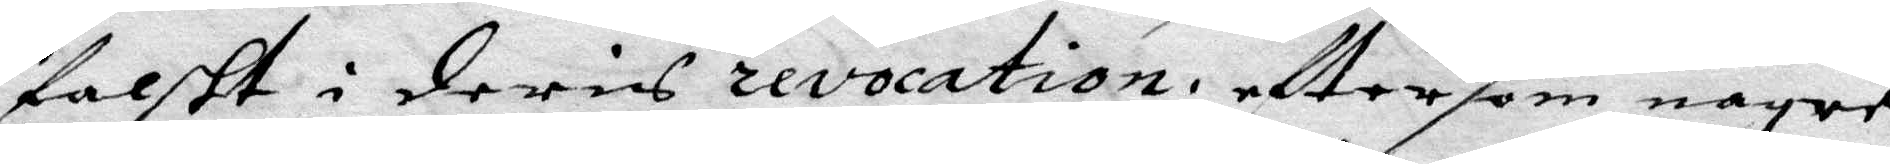falskt i deris revocation, eftersom nogre
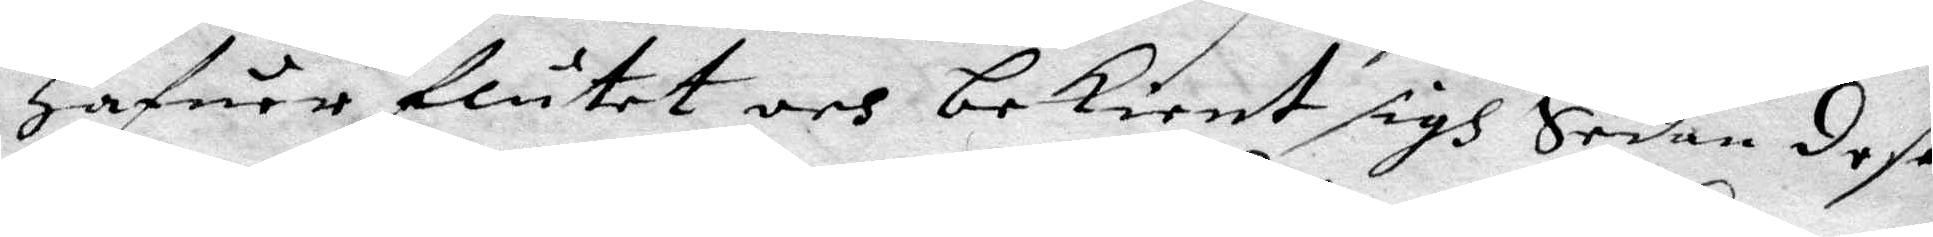Hafuer flutit och bekient sigh Sedan dese
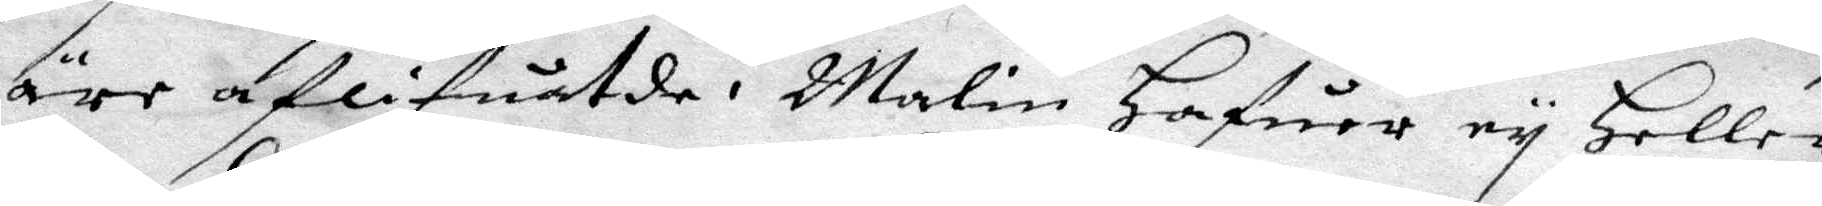äre aflifuatde, Malin hafuer ey Heller
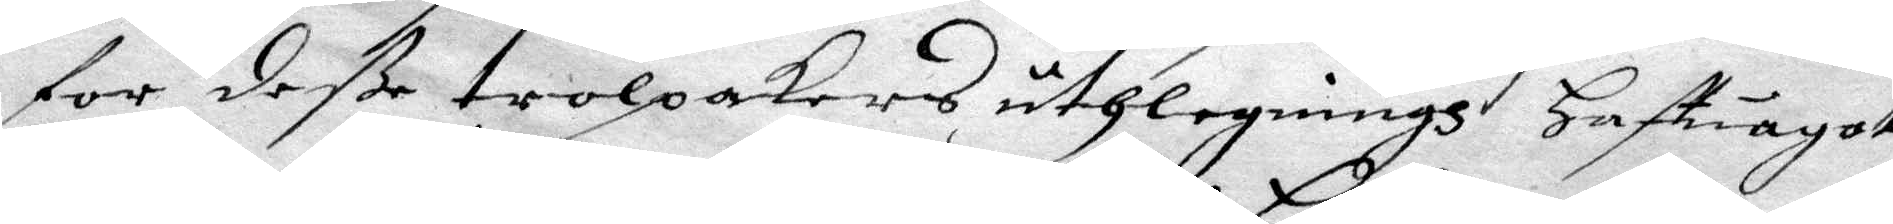for deße trolpackers uthlegningh Haft något
